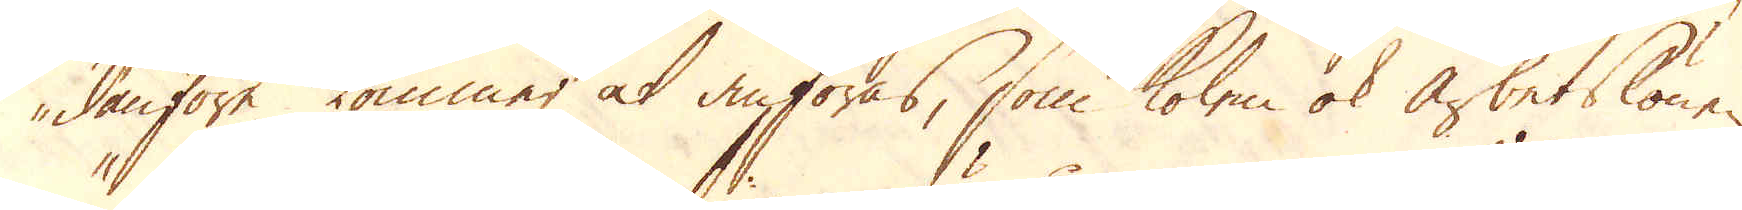danföre kommer at anföras, som kolen ok arbetslönen
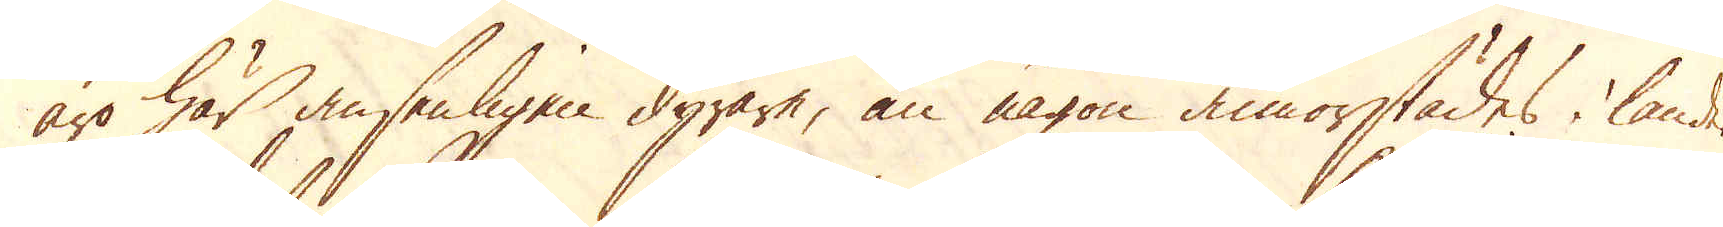äro här ansenligen dyrare, än någon annorstädes i landet.
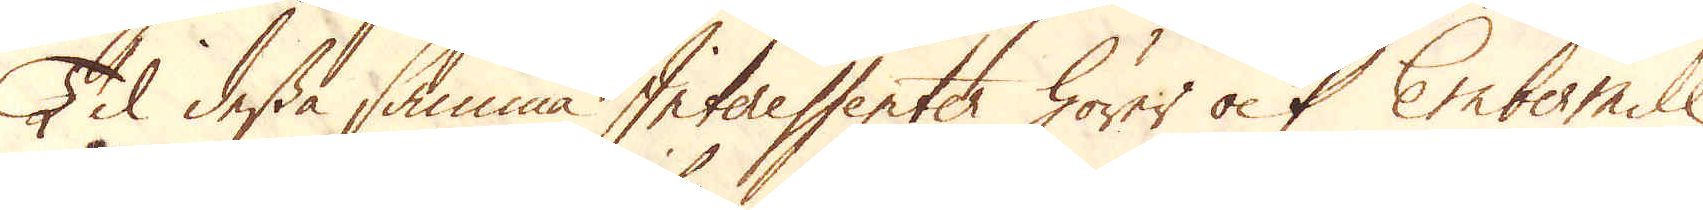Til dessa samma Interessenter hörer ock Ember mill
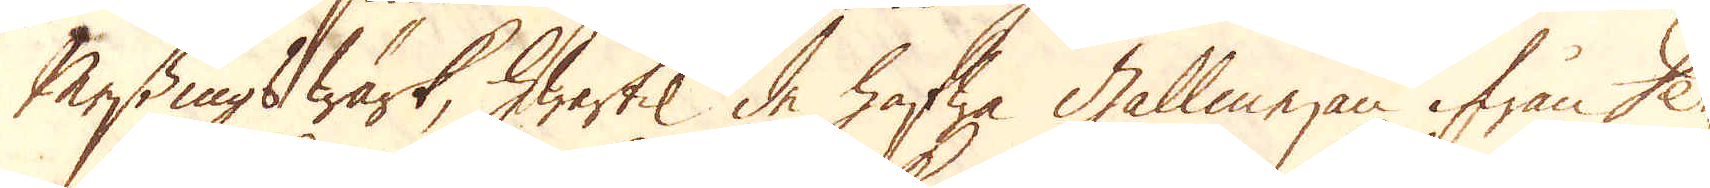Messings Wärk, hwartil de hafwa Gallmejan ifrån Der-
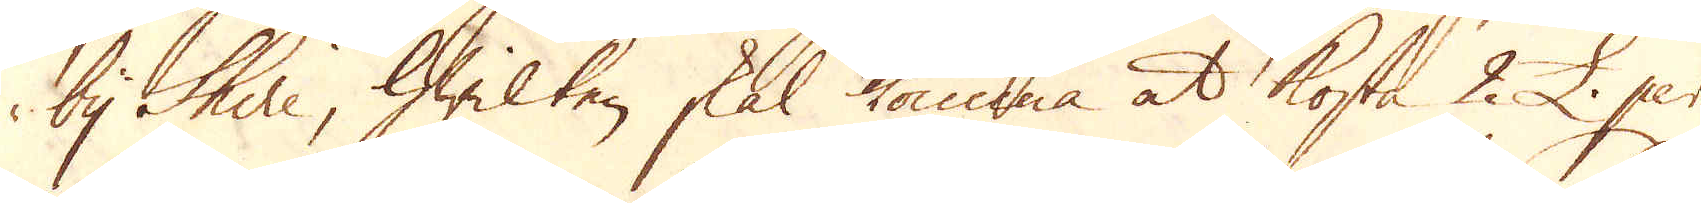by Shire, hwilken skal komma at kosta 2 £. per
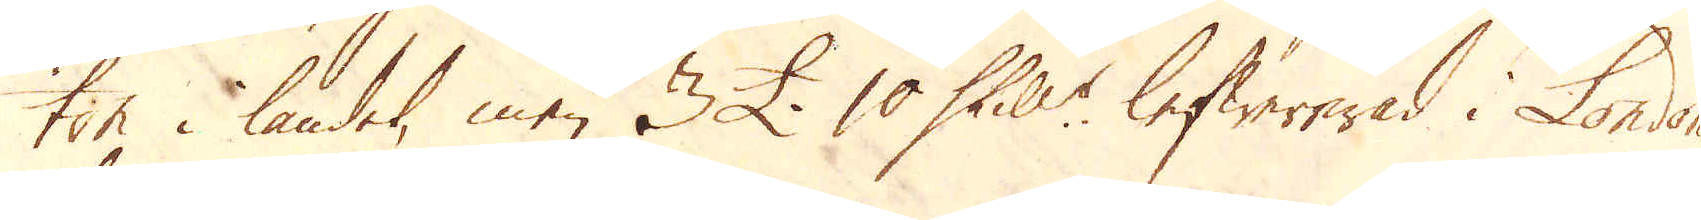ton i landet, men 3 £. 10 Skill:r lefwererad i London,
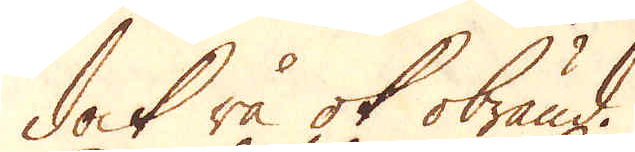dock rå ok obränd.
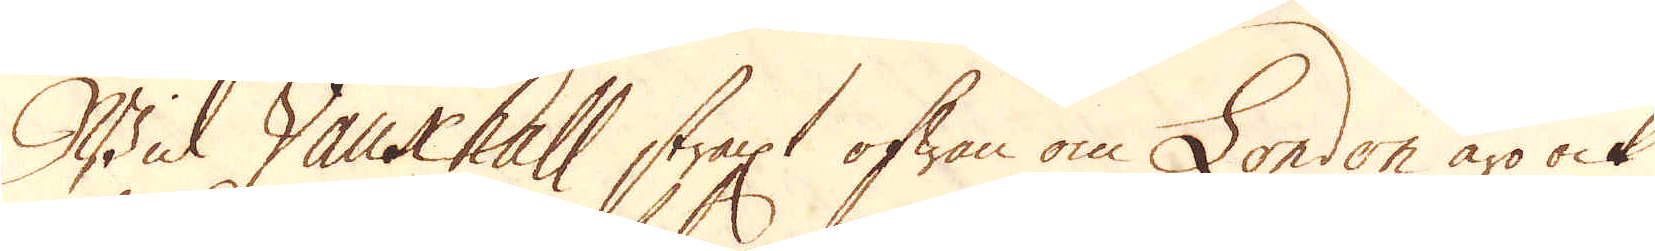Wid Vauxhall straxt ofwan om London äro ock
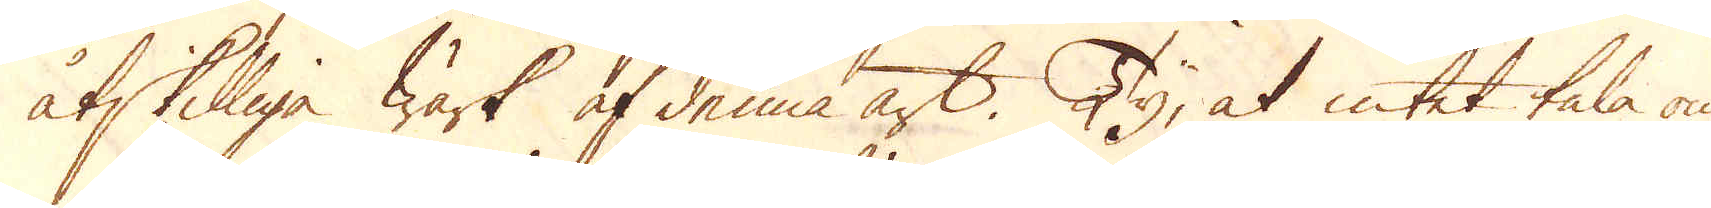åtskilliga Wärk af denna art. Ty, at intet tala om
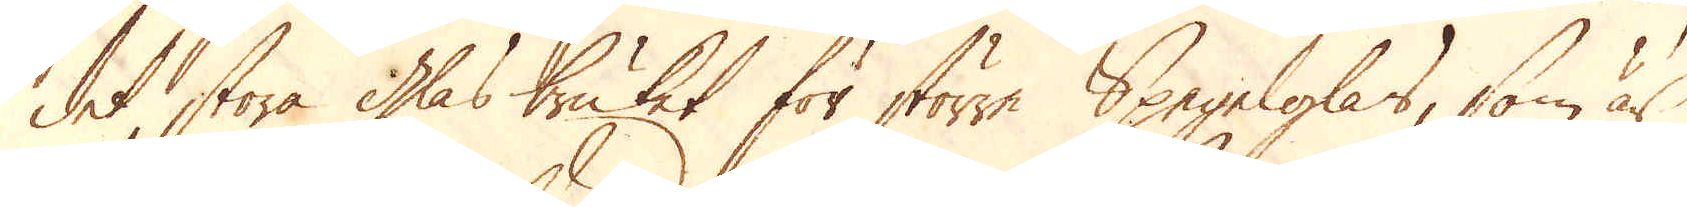det stora glasbruket för större Spegelglas, som är
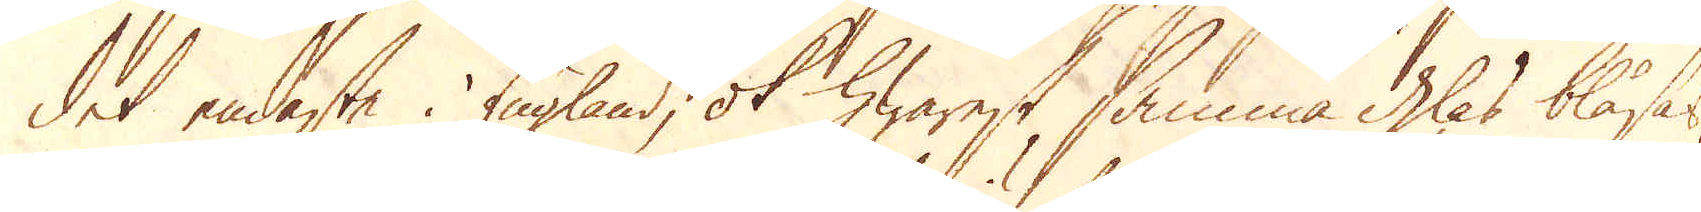det endaste i England, ok hwarest samma glas blåsas,
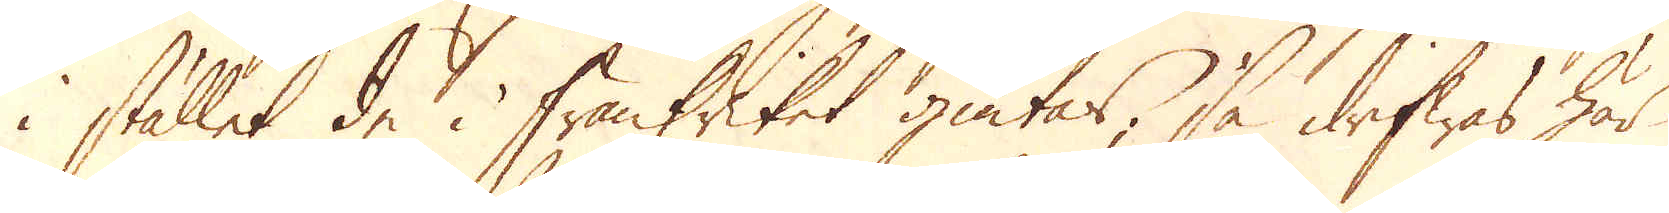i stället de i Frankriket giutas, så drifwas här
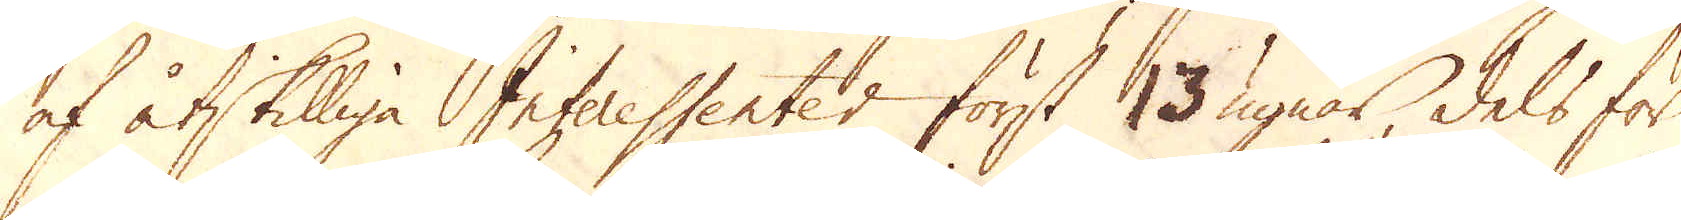af åtskilliga Interessenter först 13 ugnar, dels för
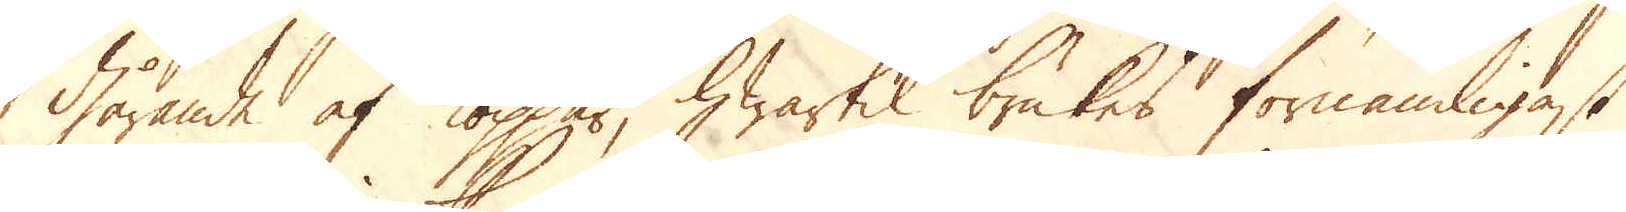gårande af koppar, hwartil brukes förnämligast
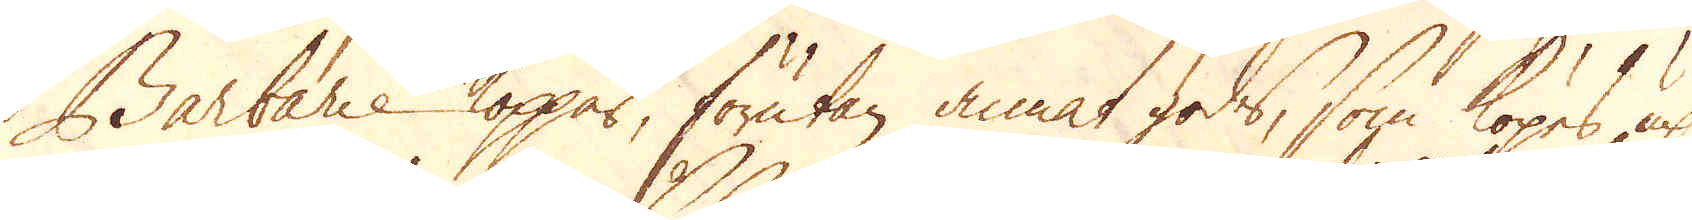Barbarie koppar, förutan annat gods, som köpes up
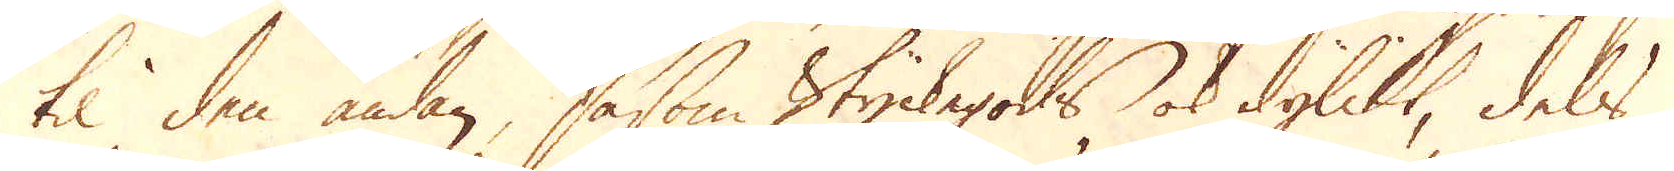til den ändan, såsom Styckegods ok dylikt, dels
